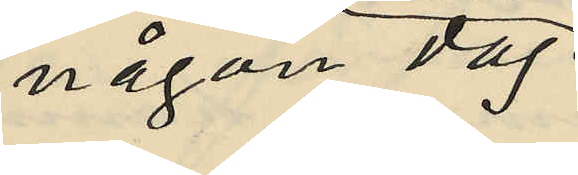någon dag
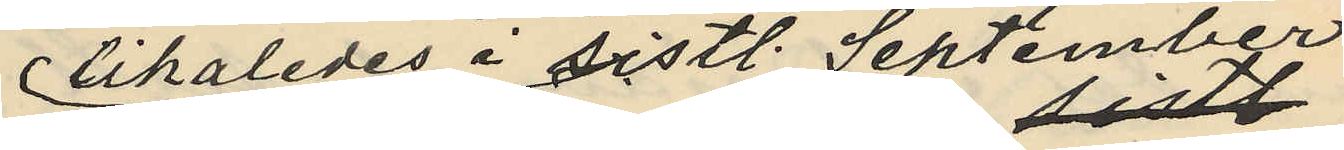likaledes i sistl. September
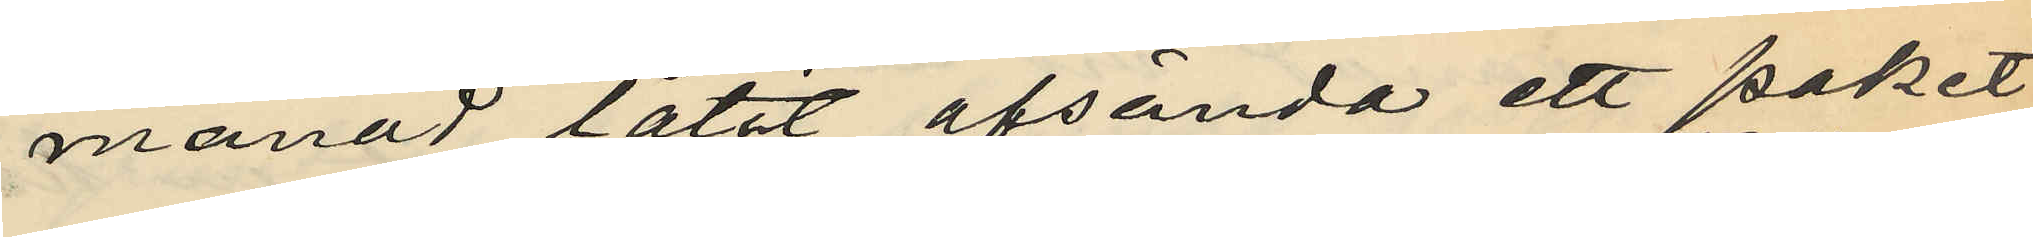månad låtit afsända ett paket
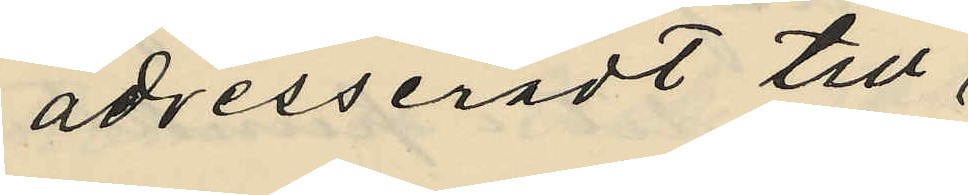adresseradt till
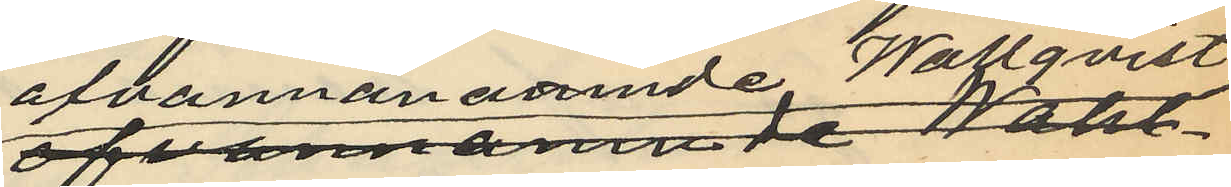ofvannämnde Wallqvist
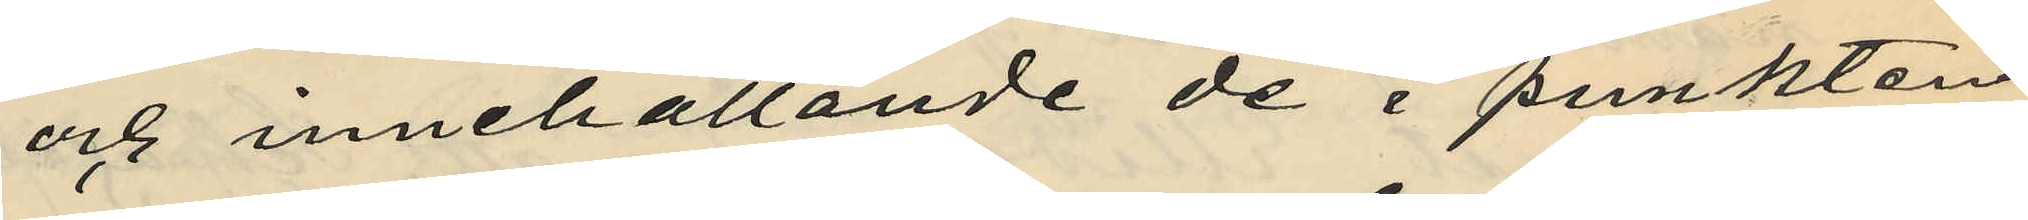och innehållande de i punkten
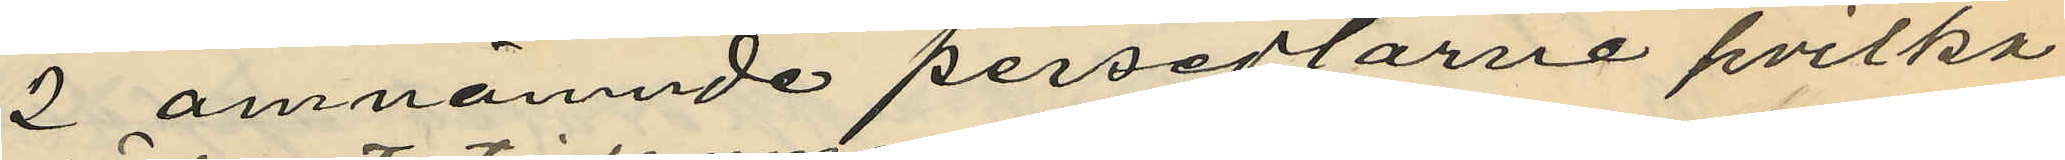2 omnämnde persedlarne hvilka
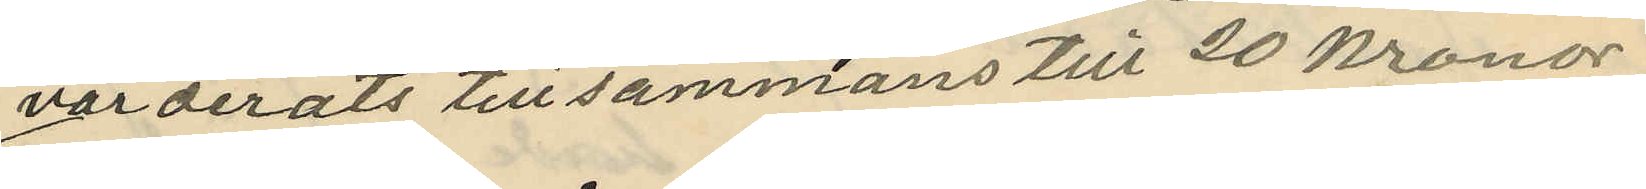värderats tillsammans till 20 kronor
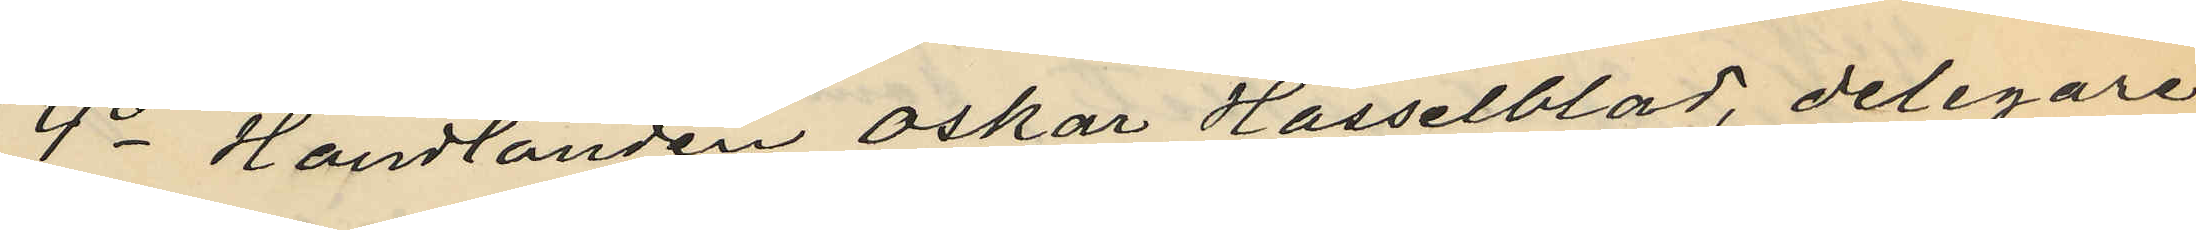4o Handlanden Oskar Hasselblad, delegare
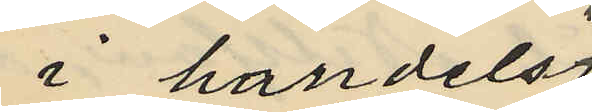i handels¬
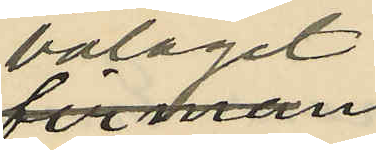bolaget
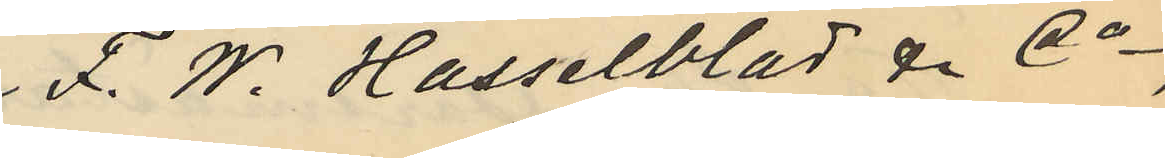F. W. Hasselblad & Co,
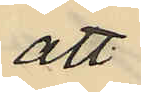att
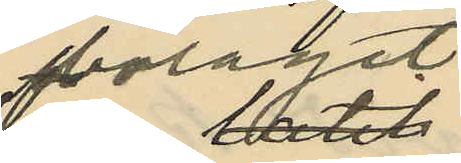bolaget
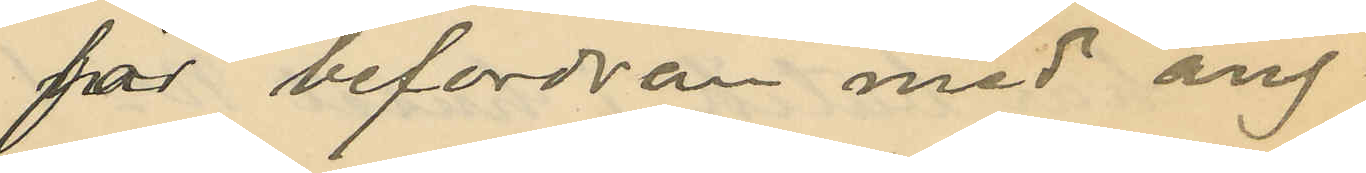för befordran med ång¬
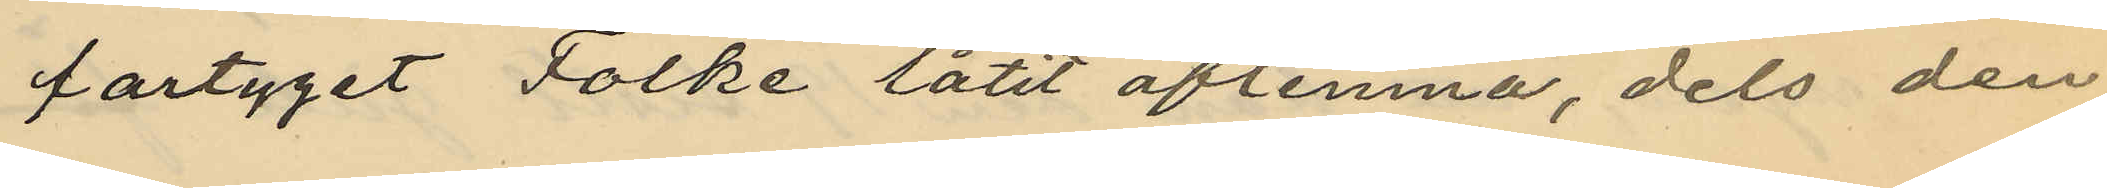fartyget Folke låtit aflemna, dels den
